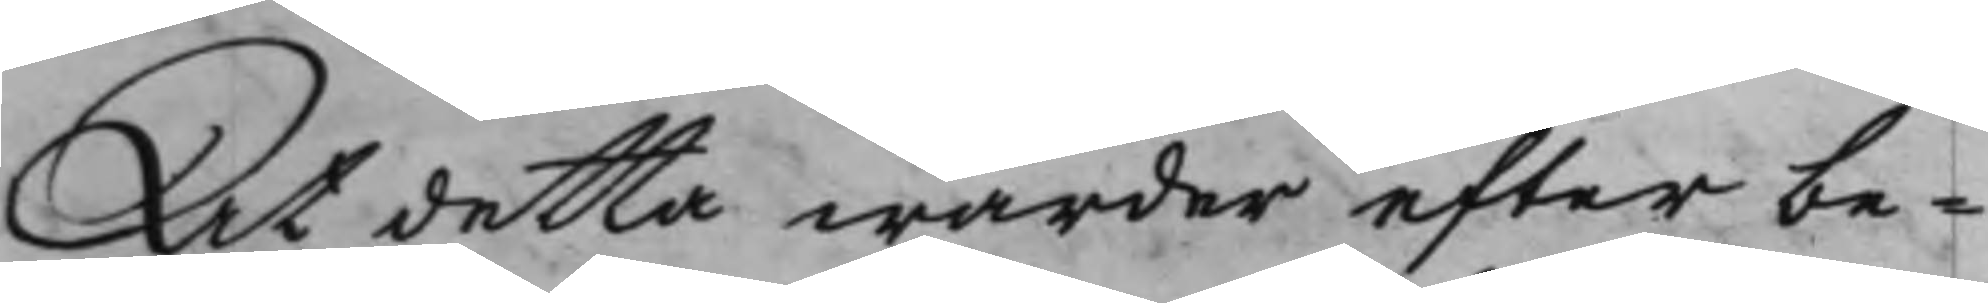At detta warder efter be¬
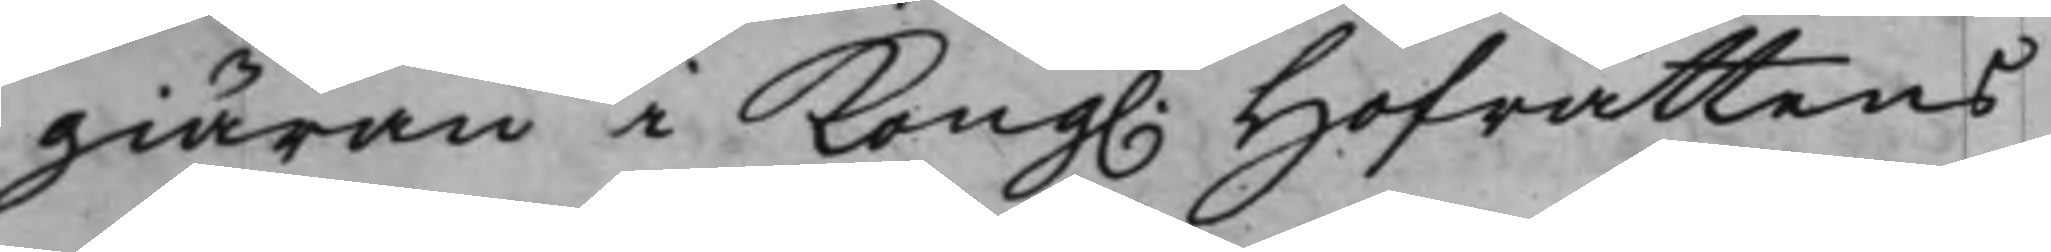giäran i Kong. Hofrättens
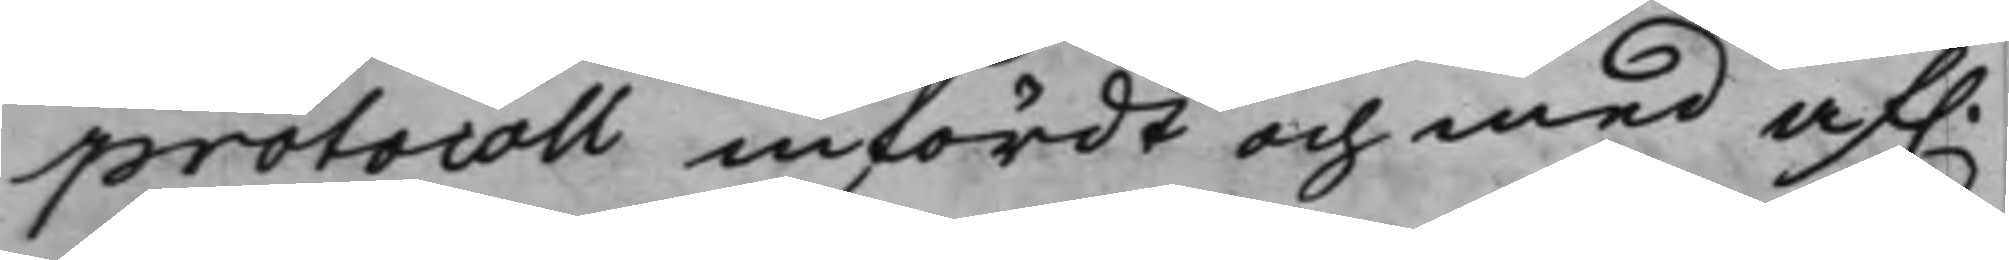protocoll infördt och med af.
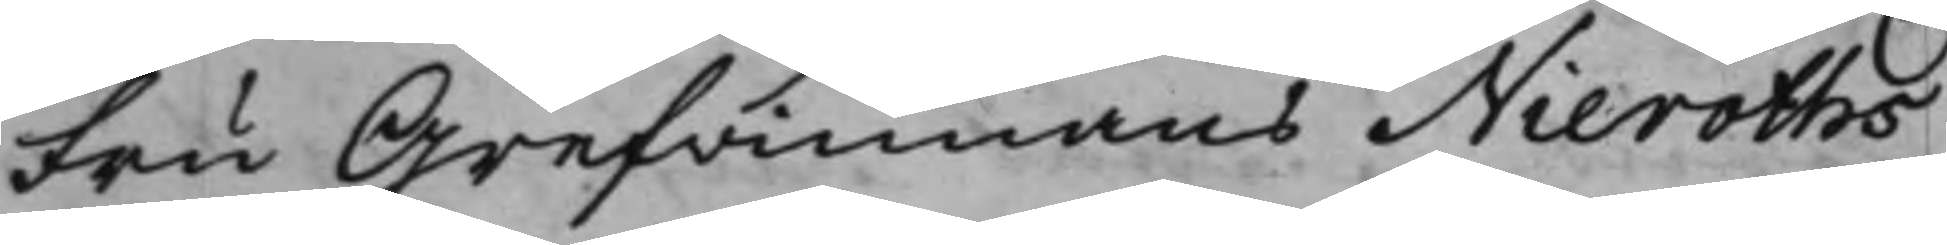Fru Grefwinnans Nieroths
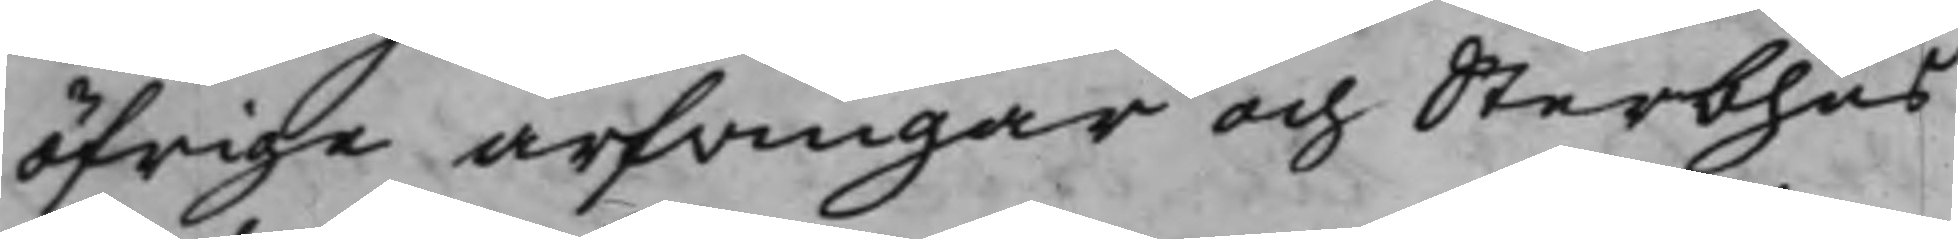öfrige arfvingar och Sterbhus¬
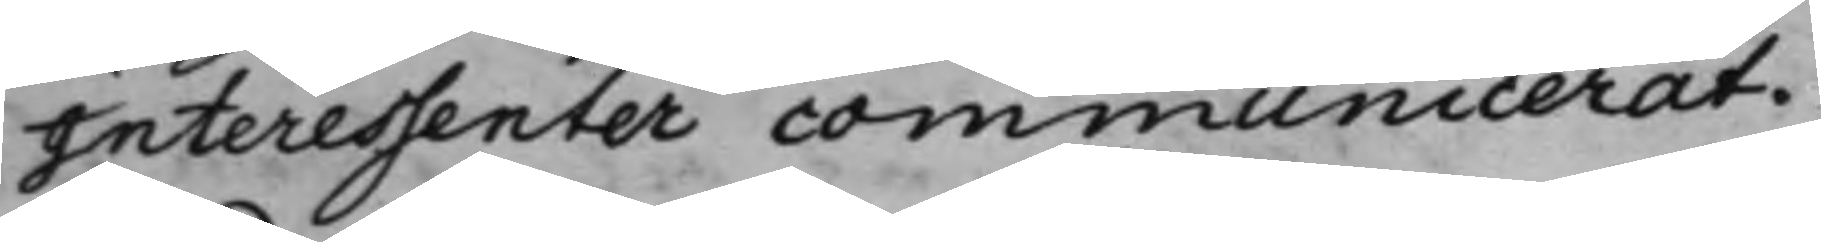Interessenter communicerat.
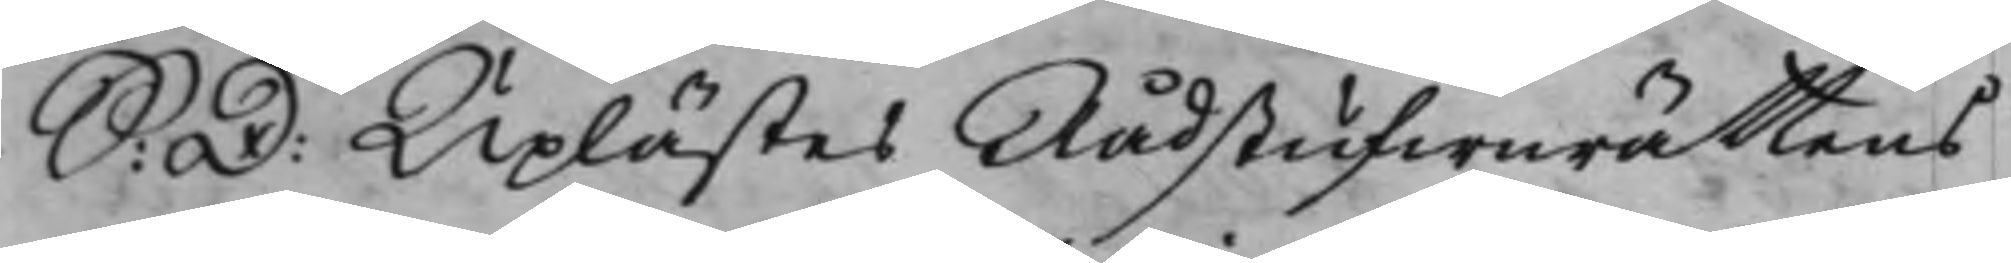S: D: Uplästes Rådstufwurättens
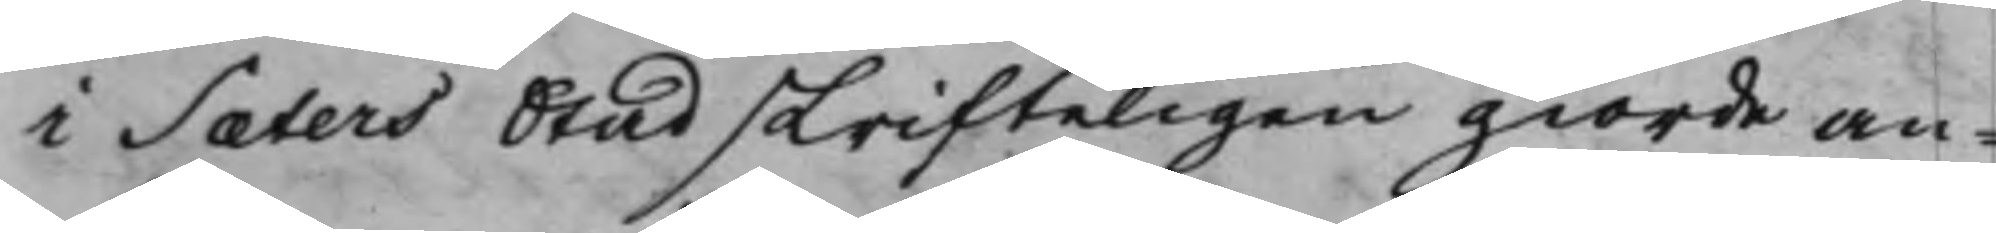i Sæters Stad skrifteligen giorde an¬
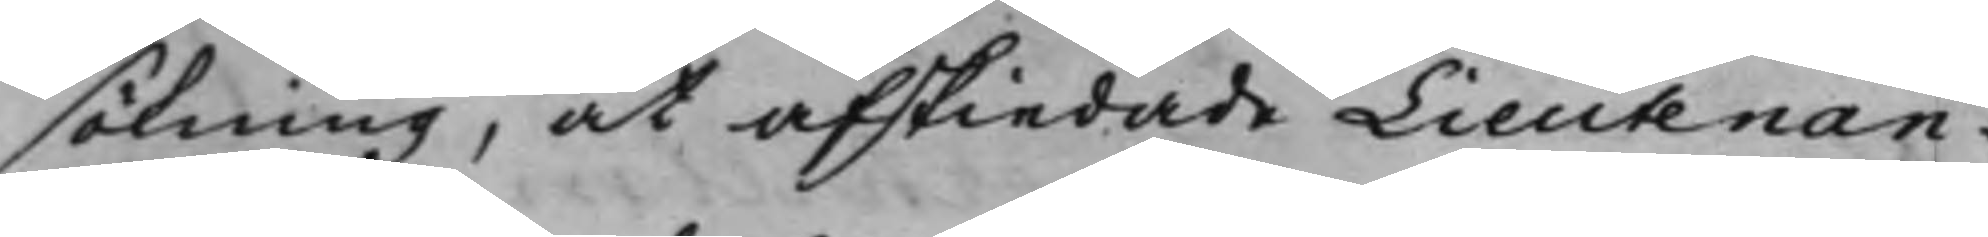sökning, at afskiedade Lieutenan¬
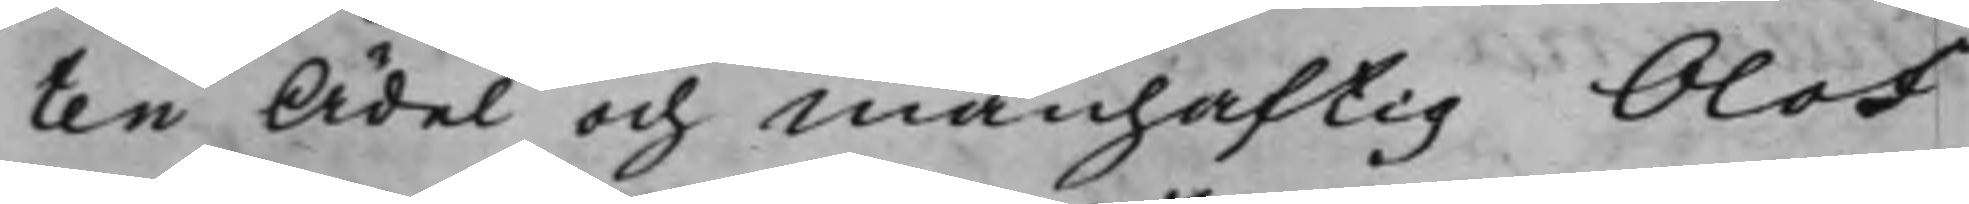ten Ädel och Manhaftig Olof
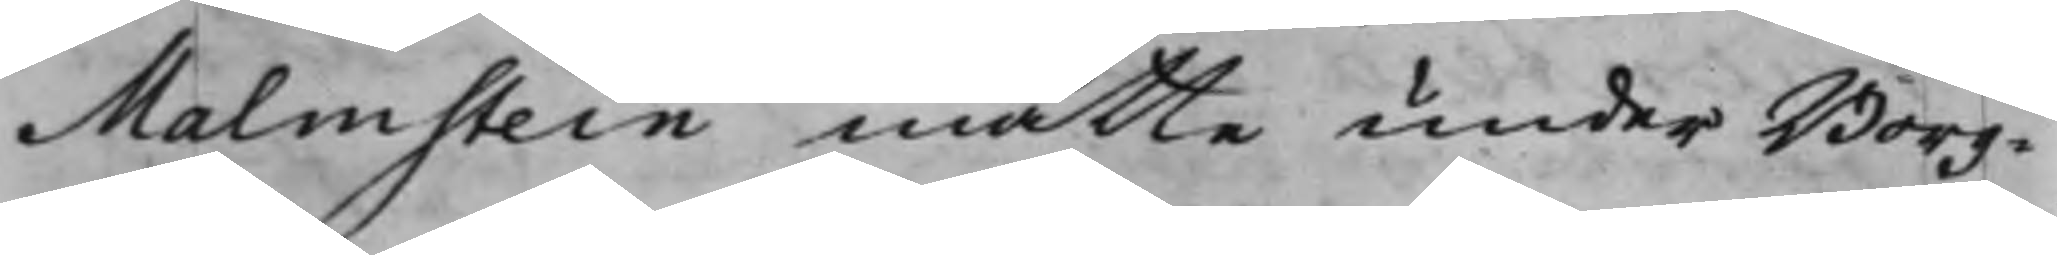Malmstein måtte under Borg¬
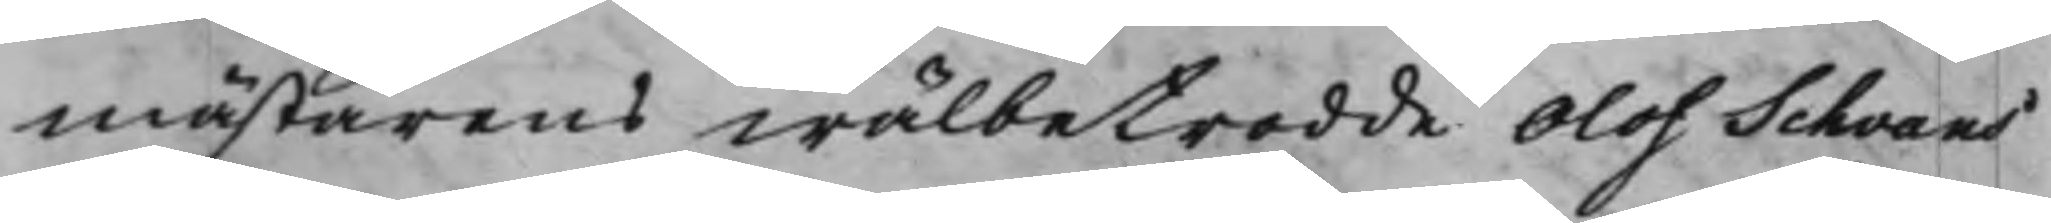mästarens wälbetrodde Olof Schvans
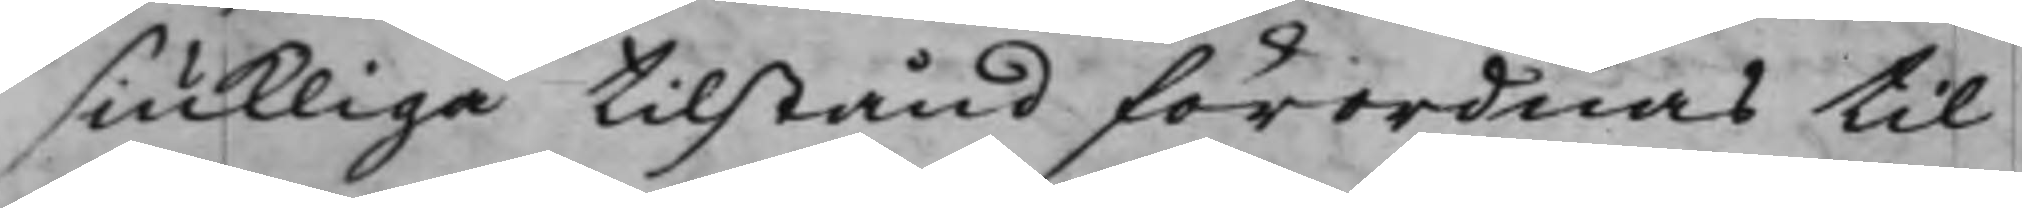siukliga tilstånd förordnas til
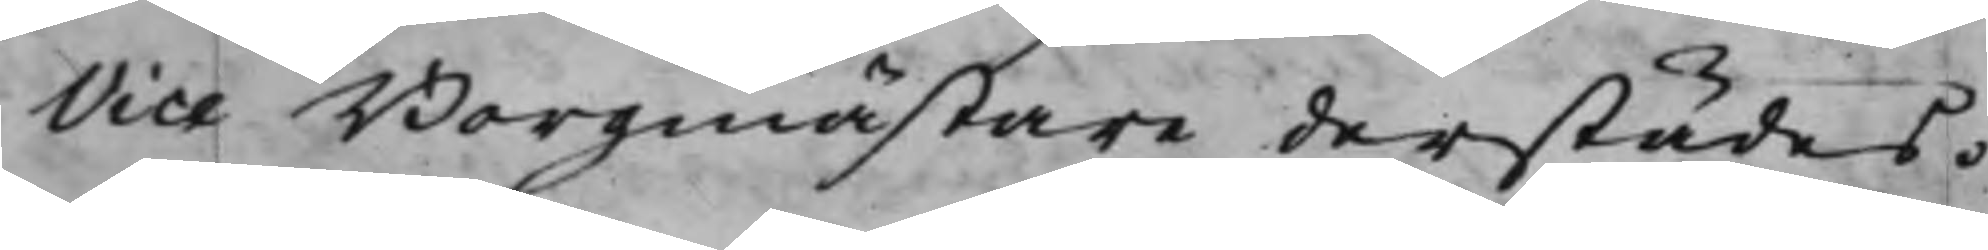Vice Borgmästare derstädes.
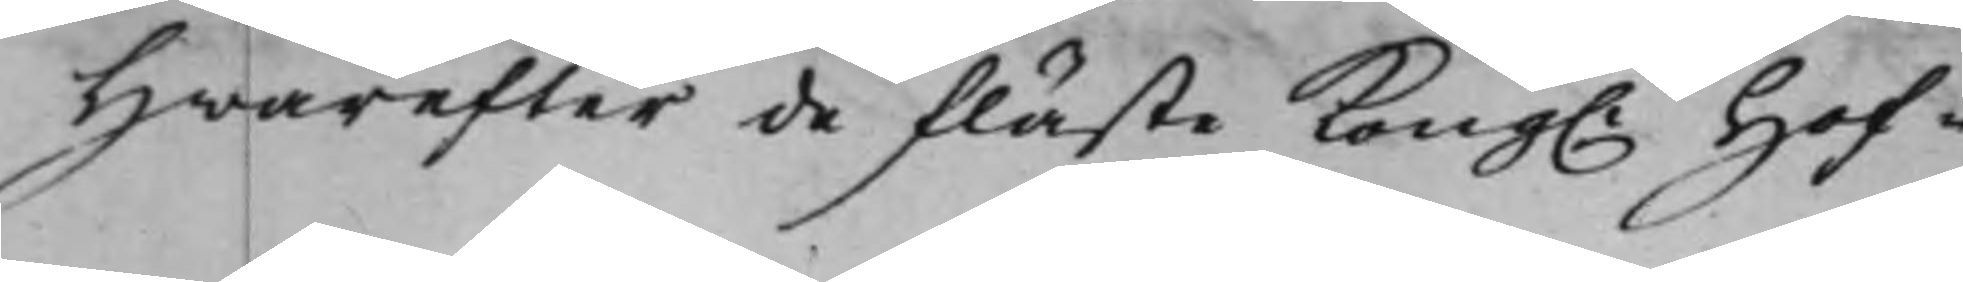Hwarefter de fläste Kong. Hof¬
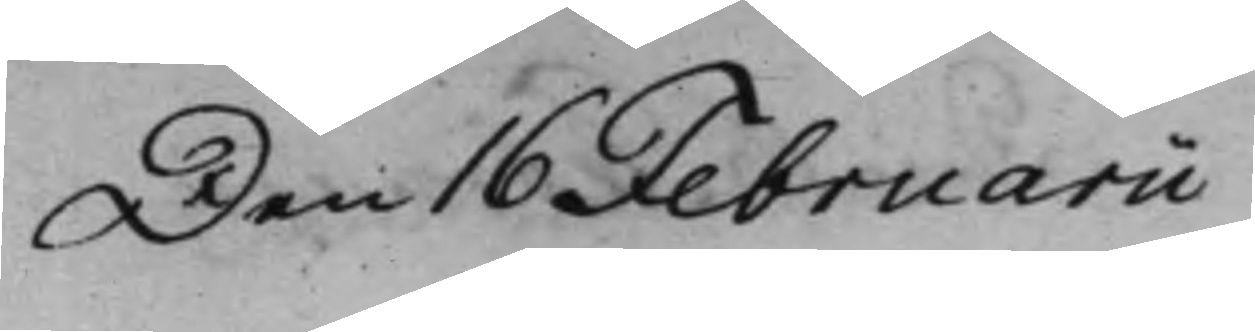Den 16 Februarii
